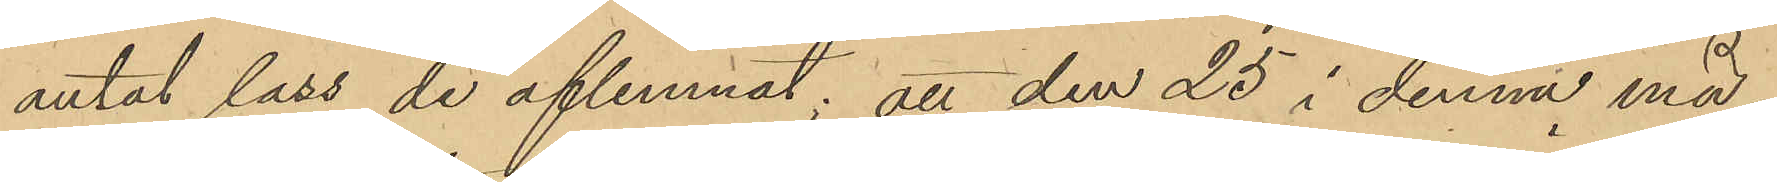antal lass de aflemnat; att den 25 i denna må¬
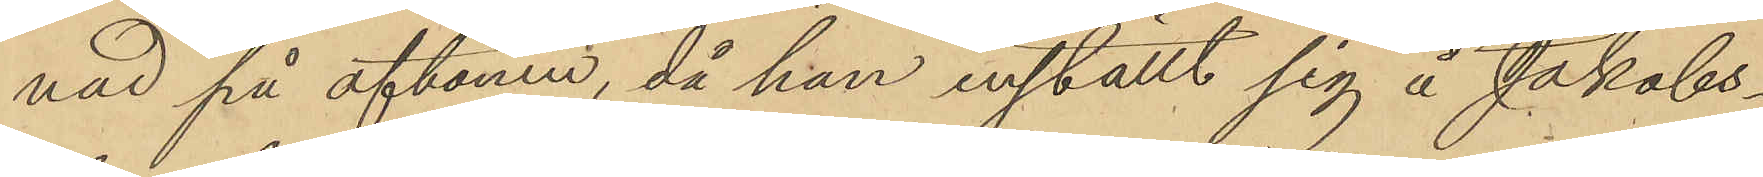nad på aftonen, då han inställt sig å Jakobs¬
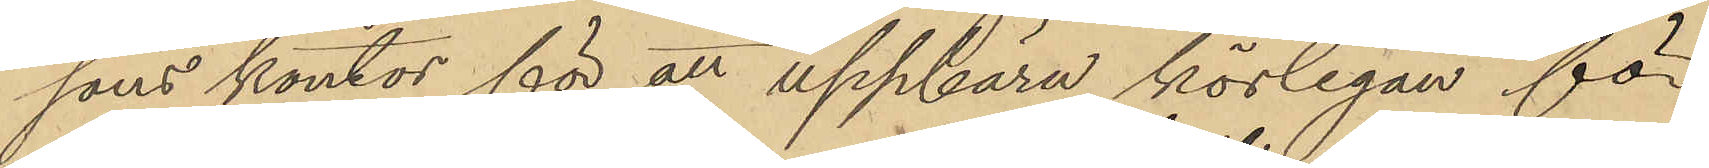sons kontor för att uppbära körlegan för
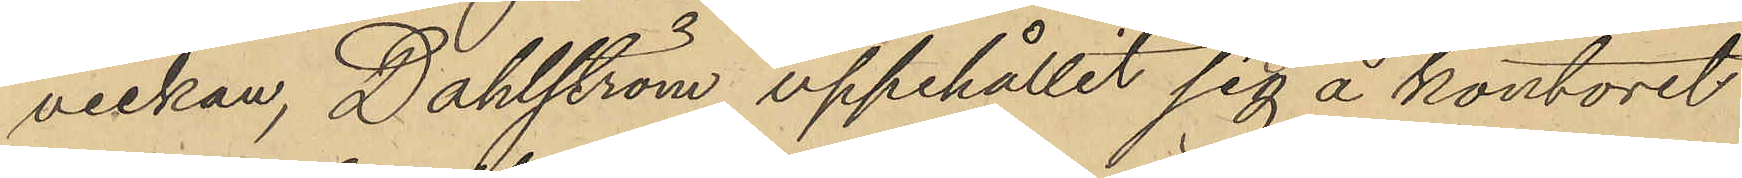veckan, Dahlström uppehållit sig å kontoret
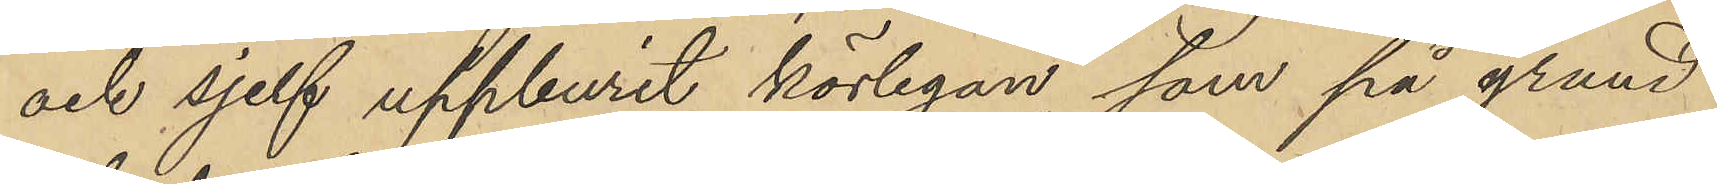och sjelf uppburit körlegan, som på grund
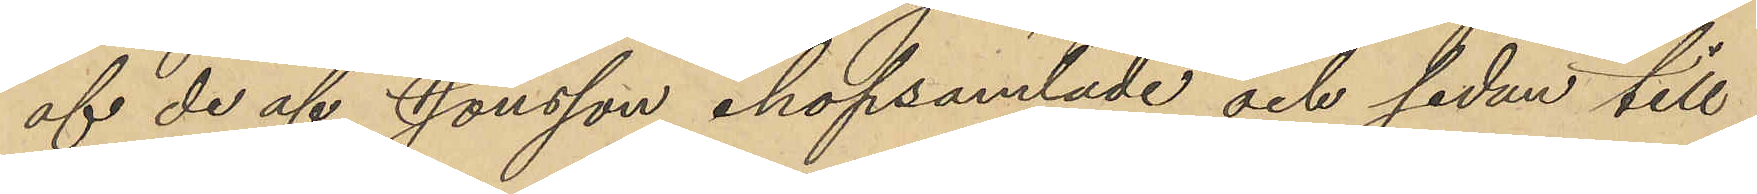af de af Jonsson ihopsamlade och sedan till
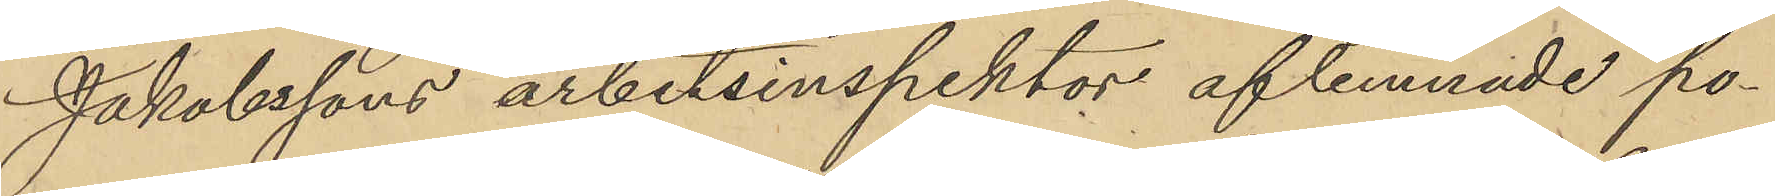Jakobssons arbetsinspektor aflemnade po¬
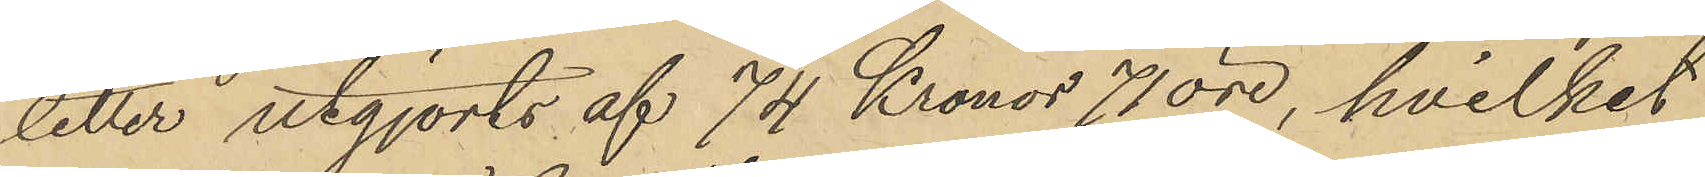letter utgjorts af 74 Kronor 71 öre, hvilket
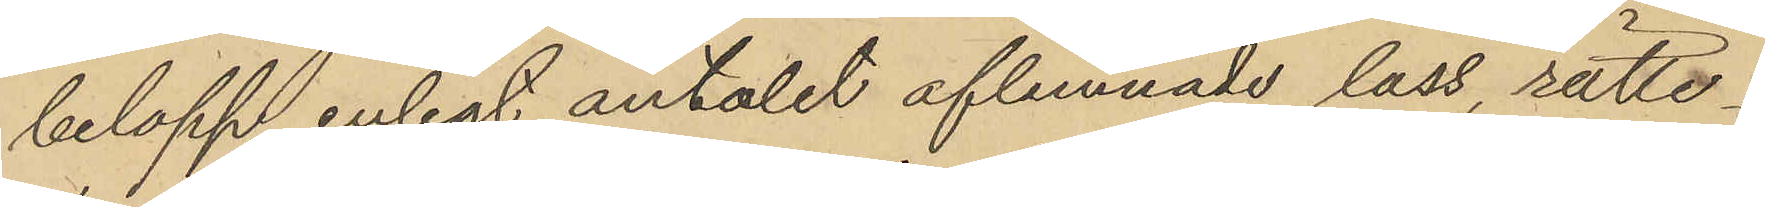belopp, enligt antalet aflemnade lass, rätte¬
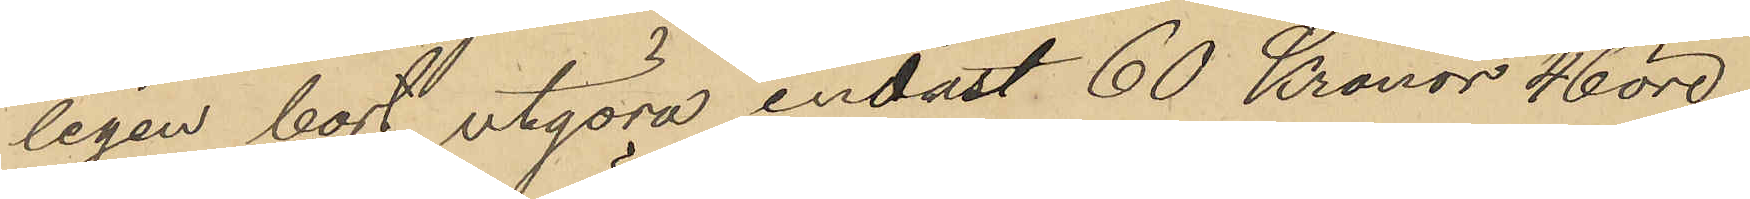ligen bort utgöra endast 60 Kronor 46 öre,
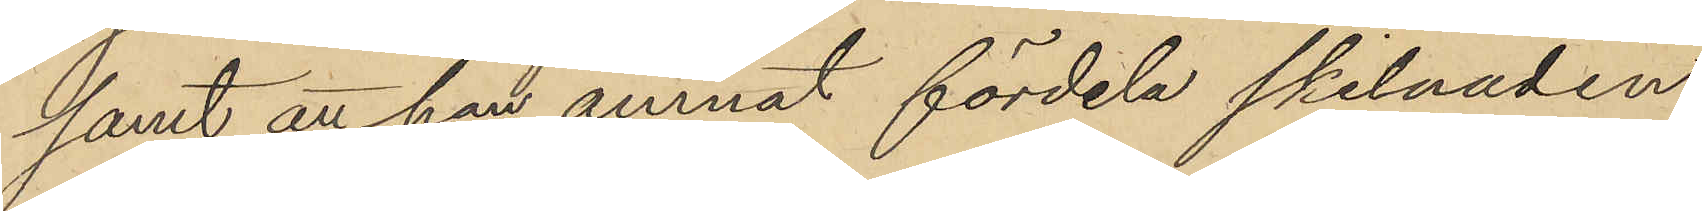samt att han ämnat fördela skilnaden
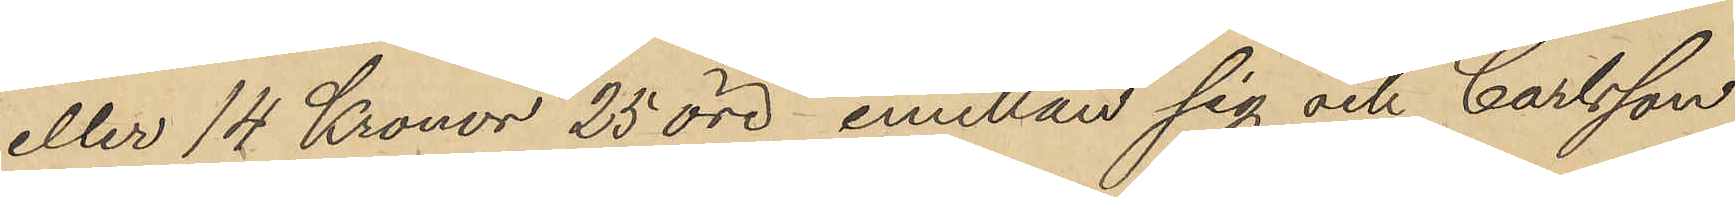eller 14 Kronor 25 öre emellan sig och Carlsson
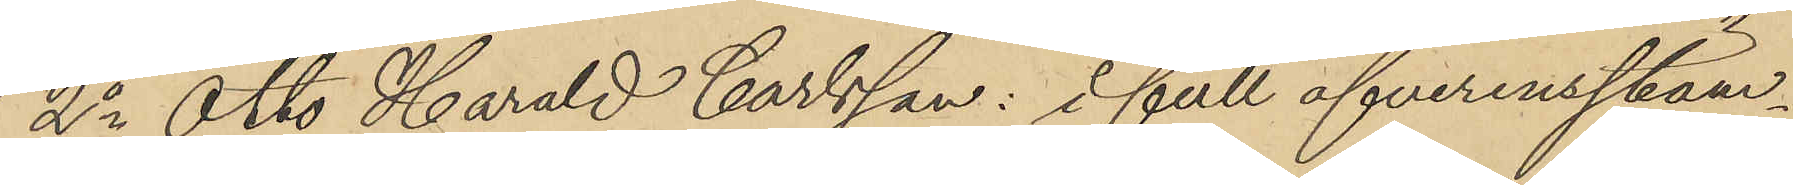2o Otto Harald Carlsson: i full öfverensstäm¬
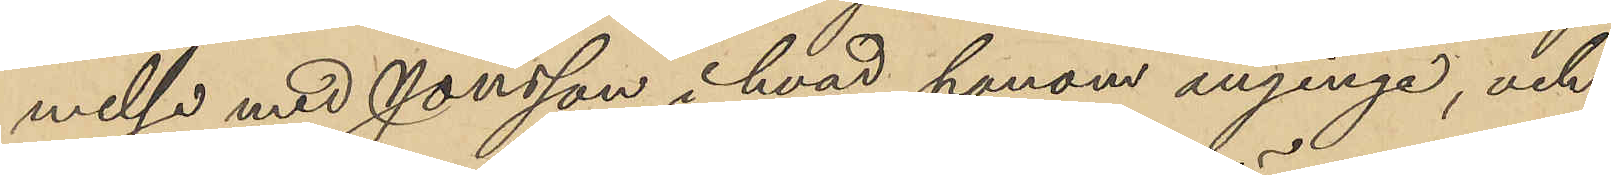melse med Jonsson i hvad honom anginge, och
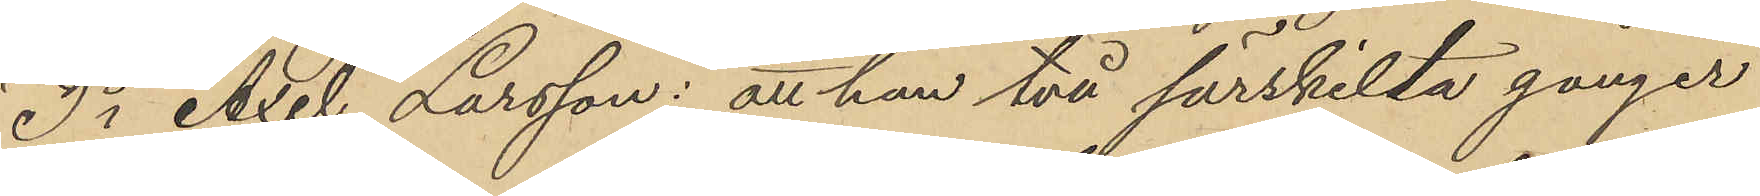3o Axel Larsson: att han två särskilta gånger
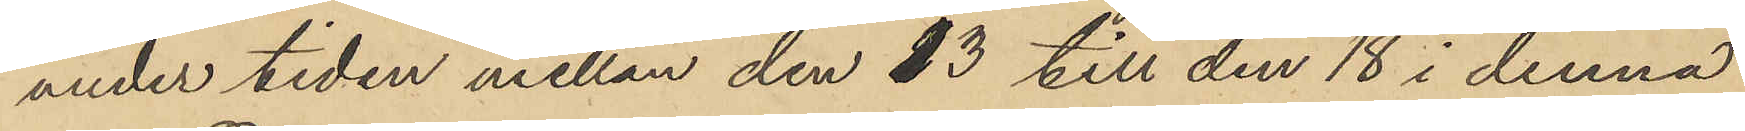under tiden mellan den 13 till den 18 i denna
